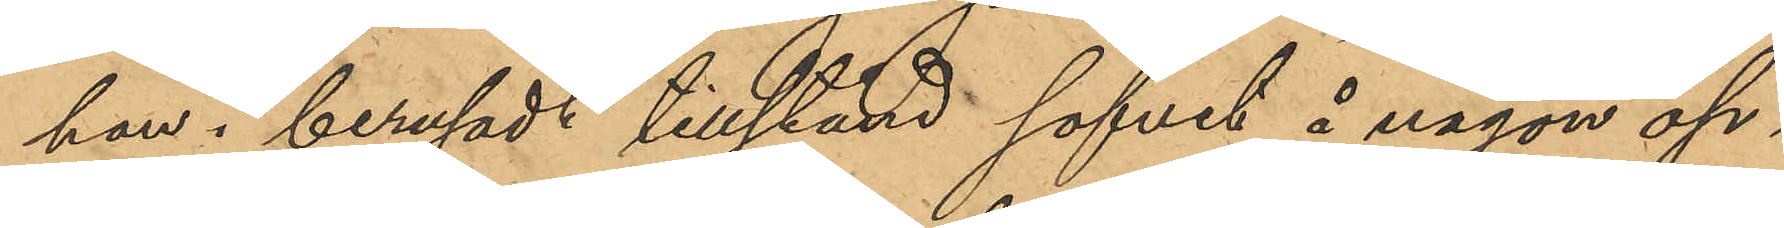han i berusadt tillstånd sofvit å någon öp¬
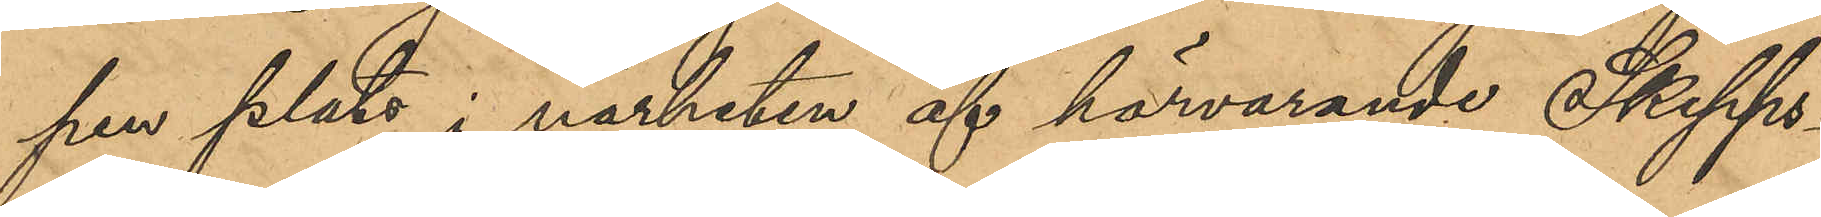pen plats i närheten af härvarande Skepps¬
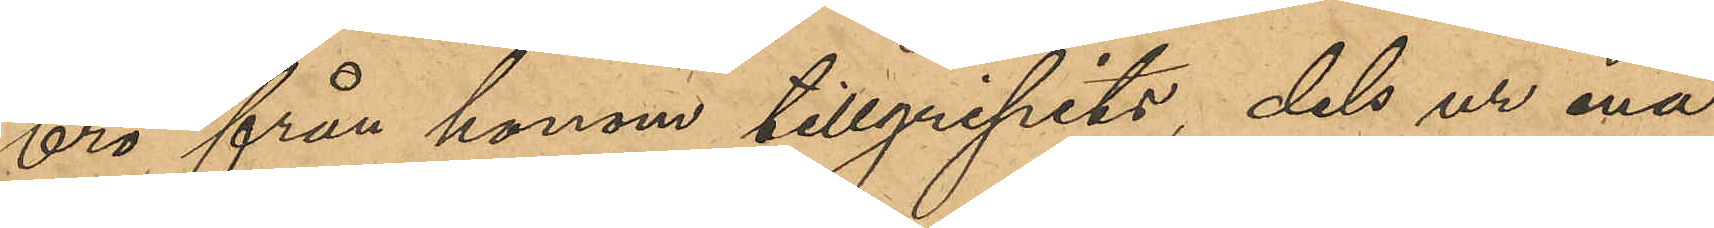bro från honom tillgripits, dels ur ena
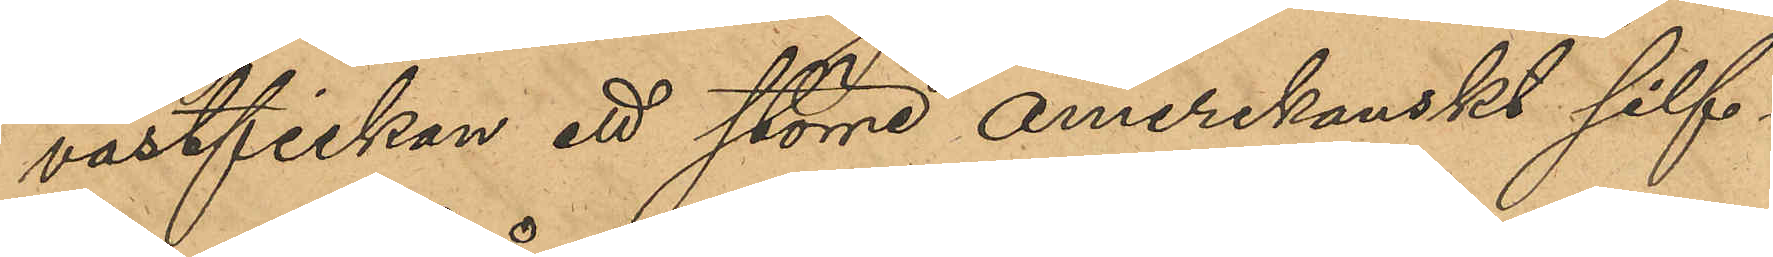västfickan ett större amerikanskt silf¬
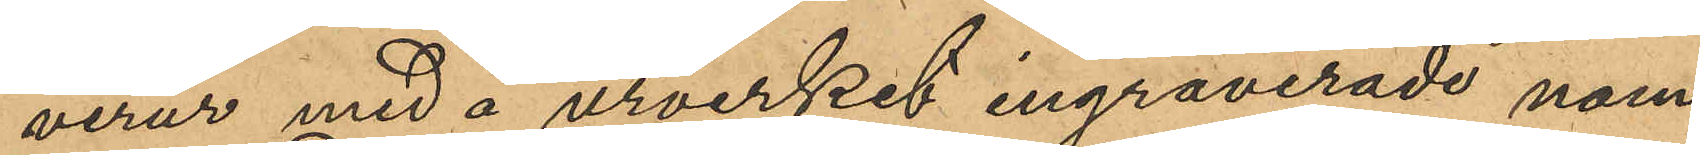verur med å urverket ingraverade nam¬
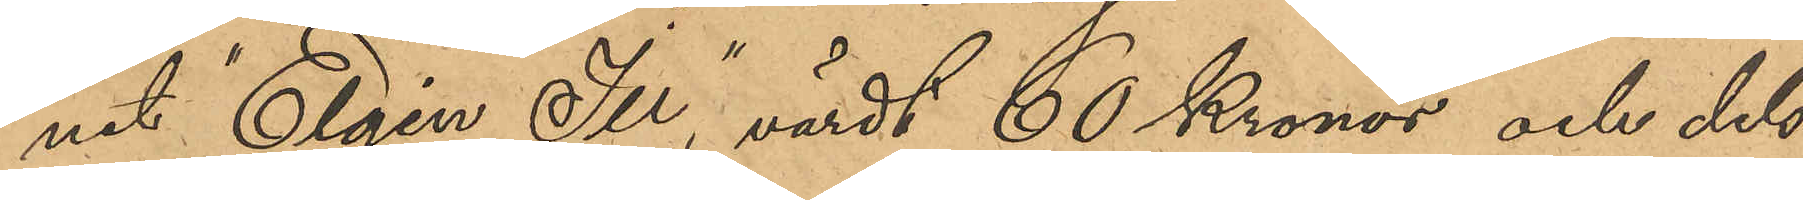net "Elgin Ili", värdt 60 Kronor och dels
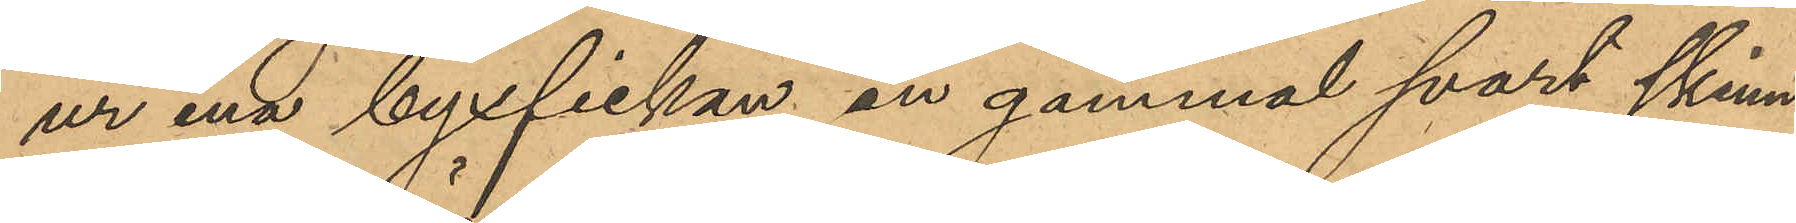ur ena byxfickan en gammal svart skinn¬
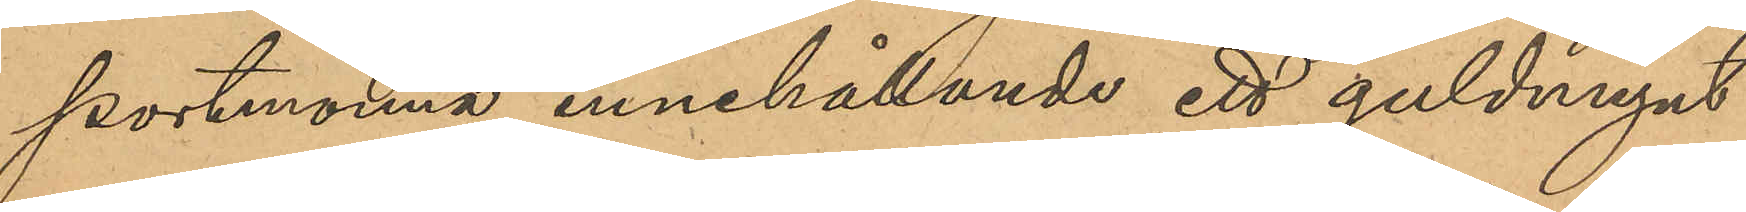portmonnä, innehållande ett guldmynt
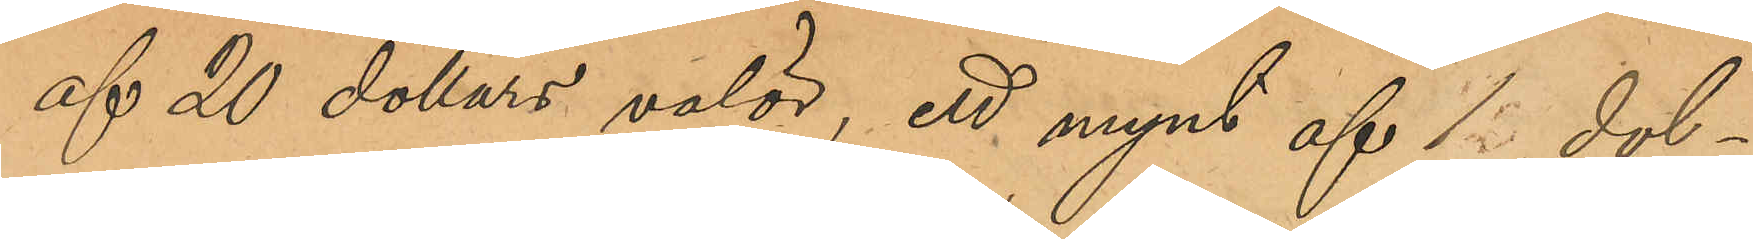af 20 dollars valör, ett mynt af 1 dol¬
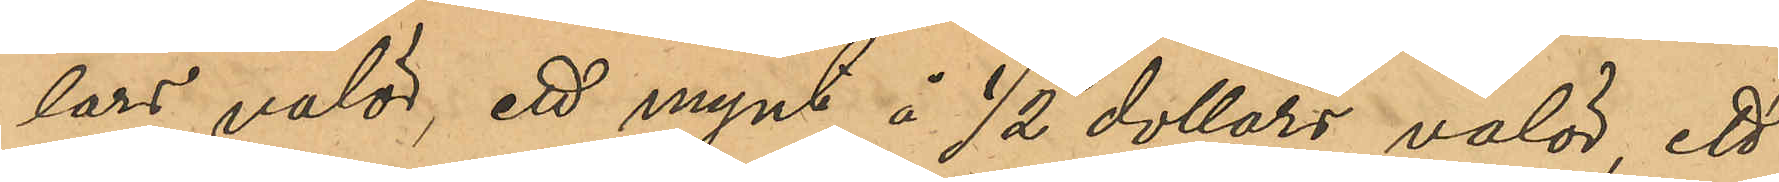lars valör, ett mynt å ½ dollars valör, ett
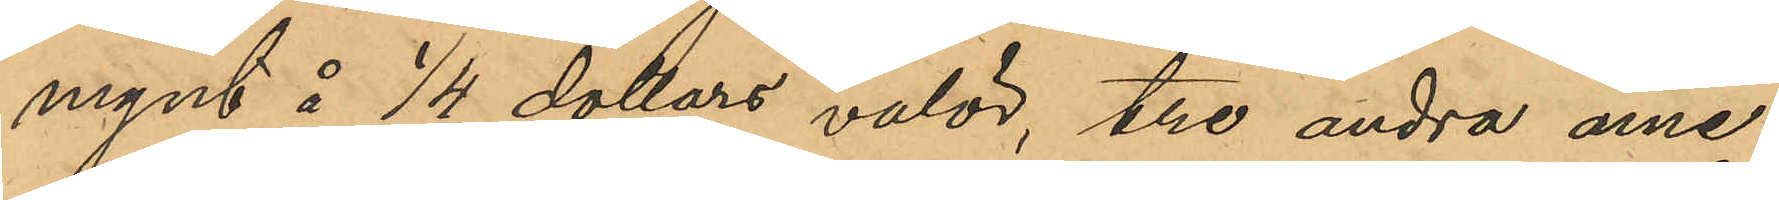mynt å 1/4 dollars valör, tre andra ame¬
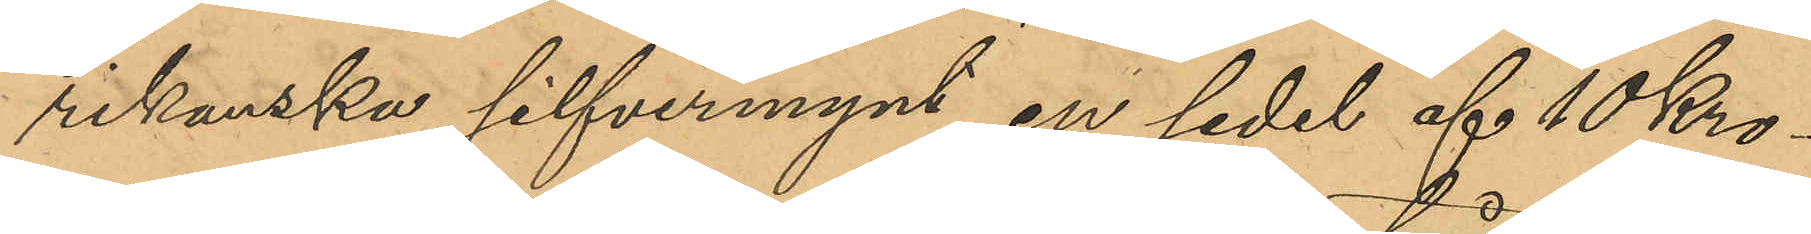rikanska silfvermynt, en sedel af 10 Kro¬
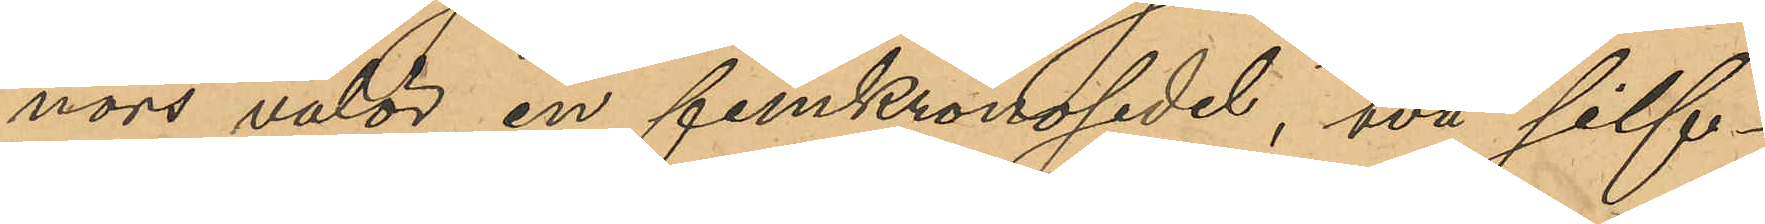nors valör, en femkronosedel, två silf¬
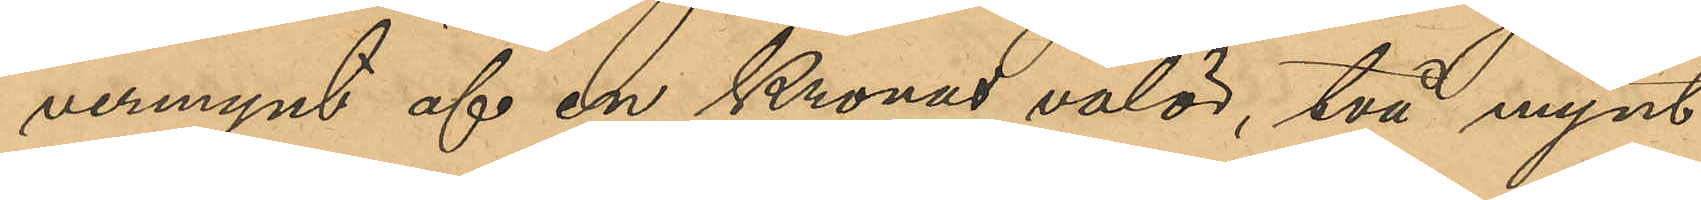ermynt af en Kronas valör, två mynt
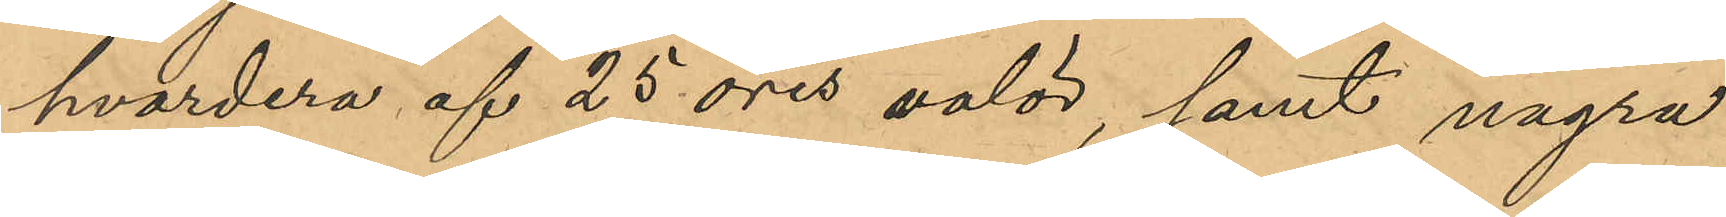hvardera af 25 öres valör, samt några
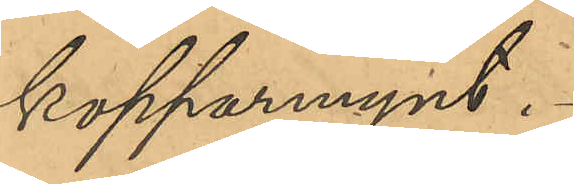kopparmynt.
